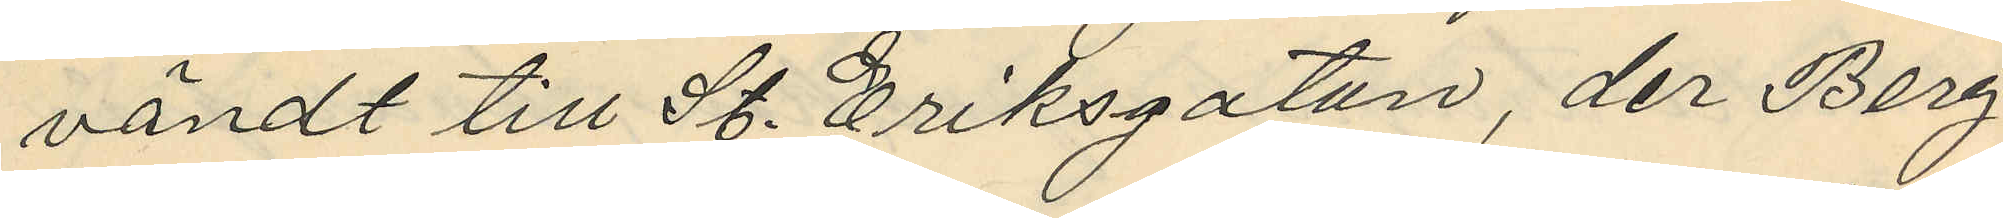vändt till St. Eriksgatan, der Berg
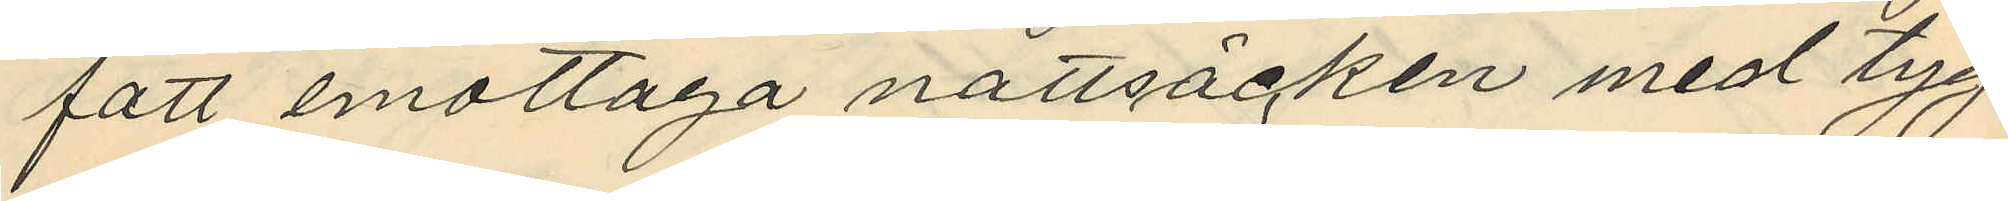fått emottaga nattsäcken med tyg
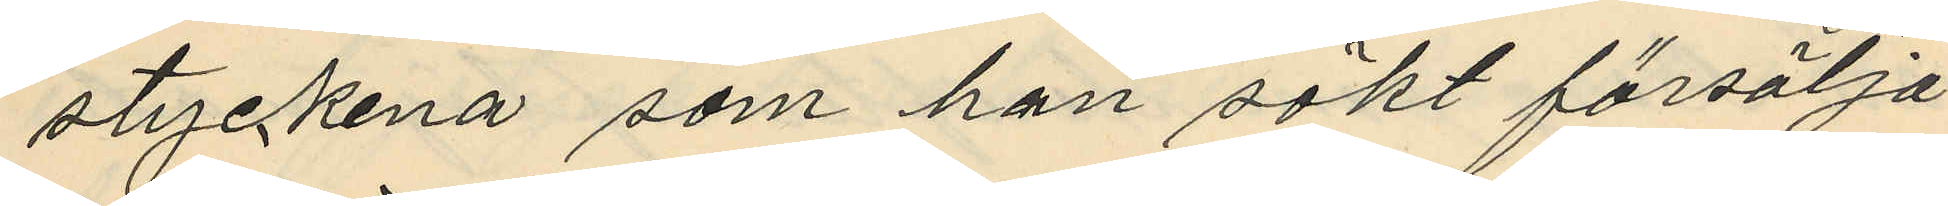styckena som han sökt försälja
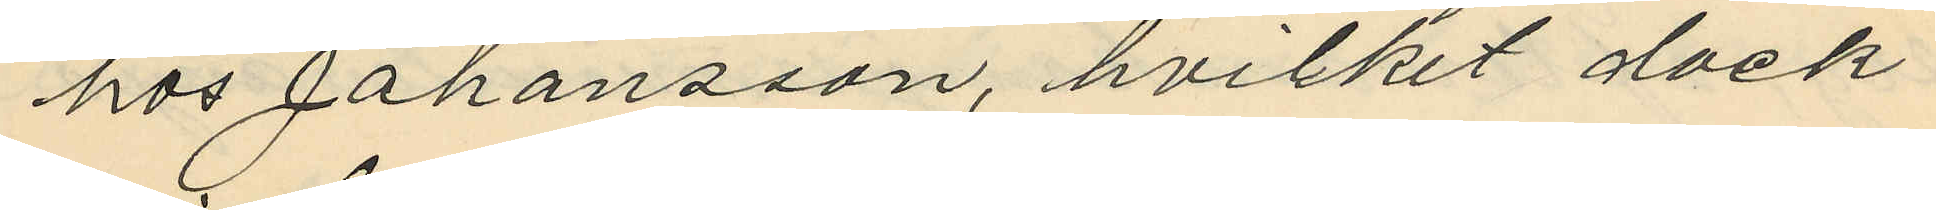hos Johansson, hvilket dock
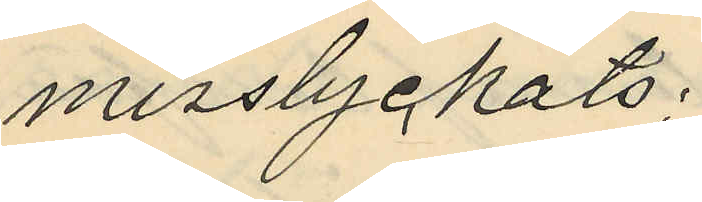misslyckats.
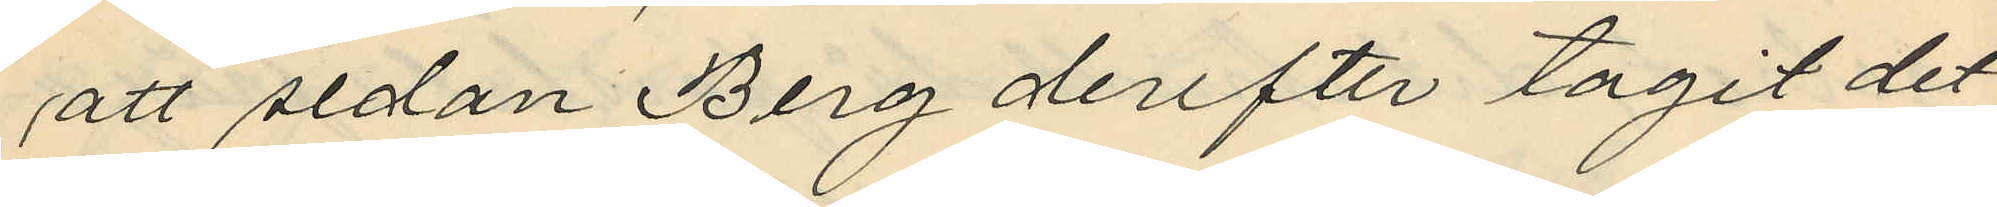att sedan Berg derefter tagit det
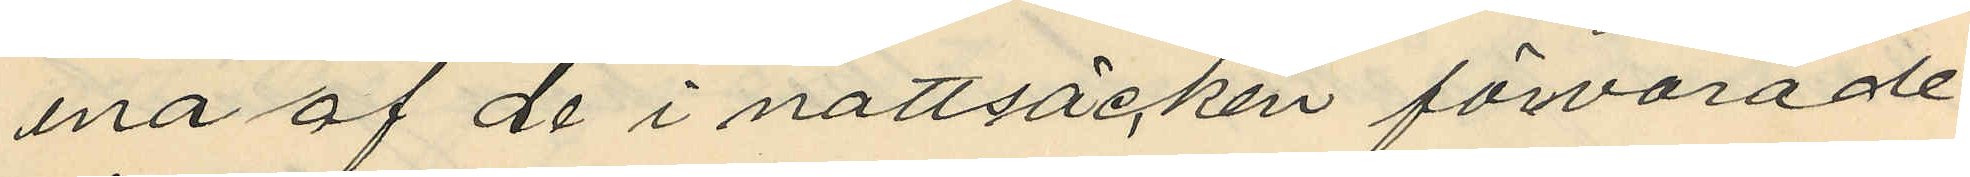ena af de i nattsäcken förvarade
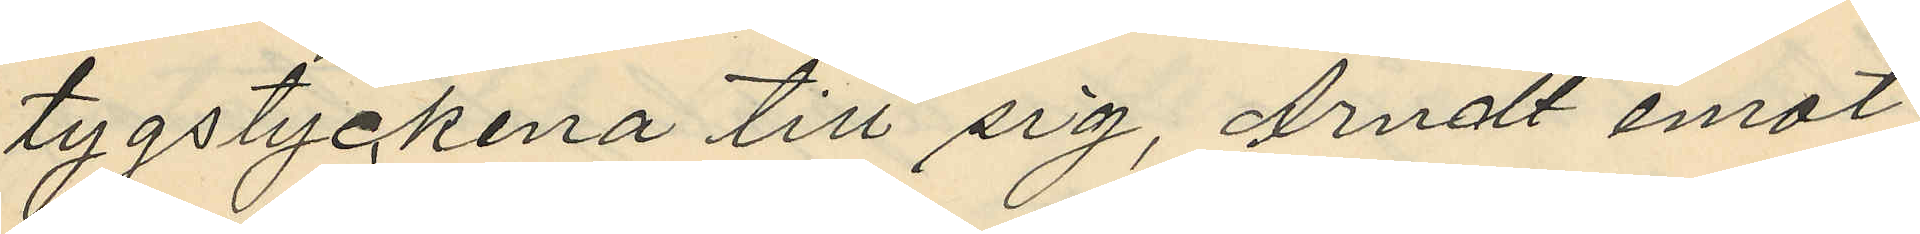tygstyckena till sig, Arndt emot
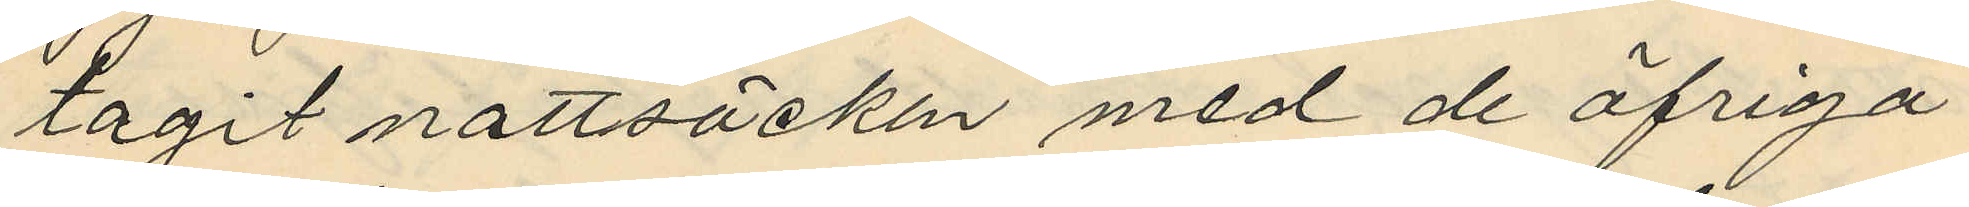tagit nattsäcken med de öfriga
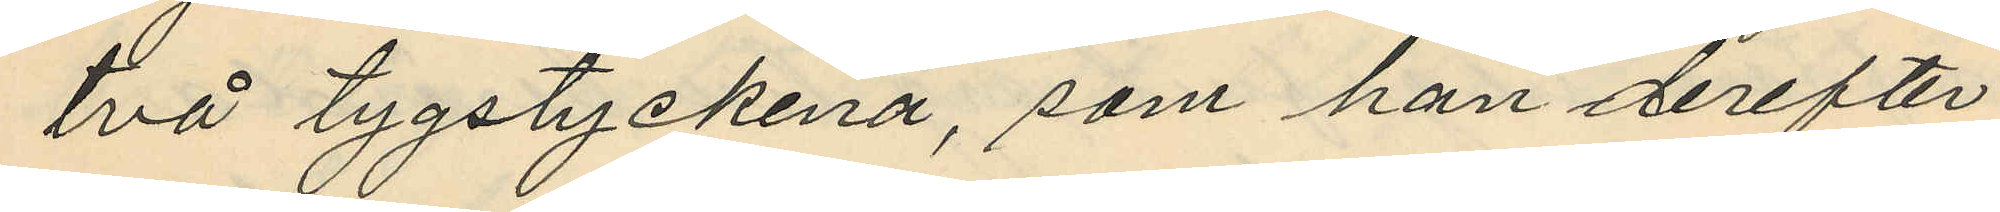två tygstyckena, som han derefter
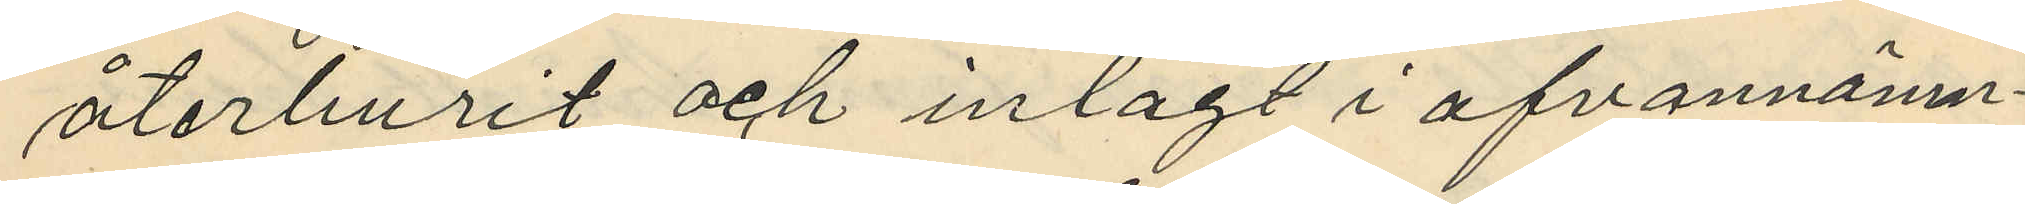återburit och inlagt i ofvannämn¬
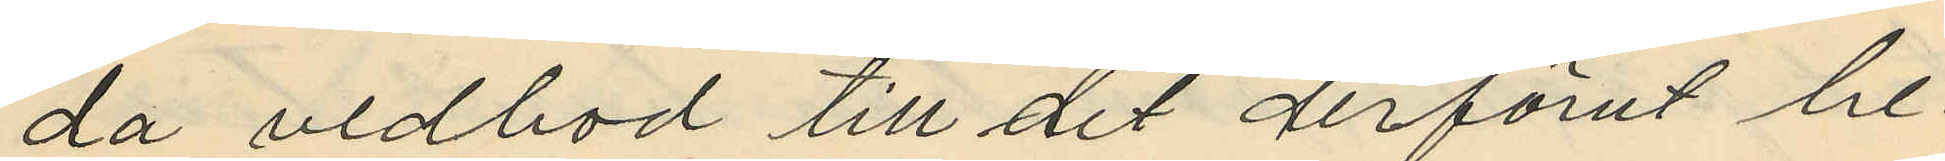da vedbod till det derförut be¬
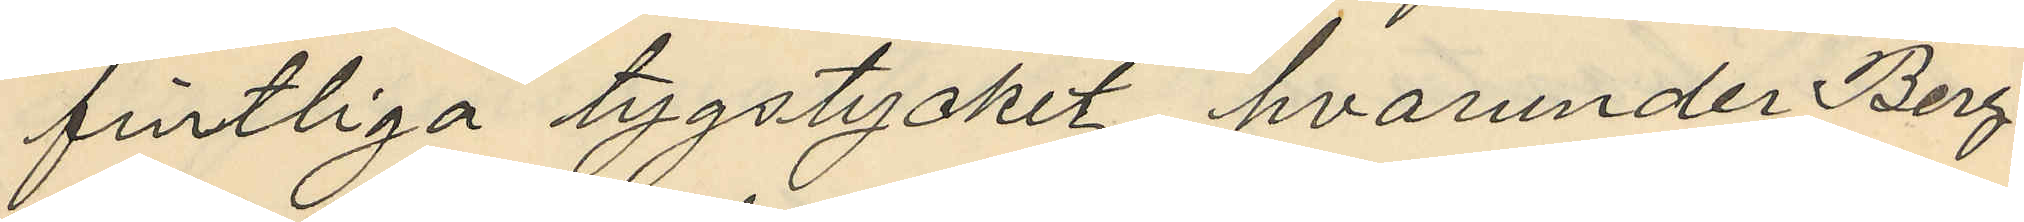fintliga tygstycket, hvarunder Berg
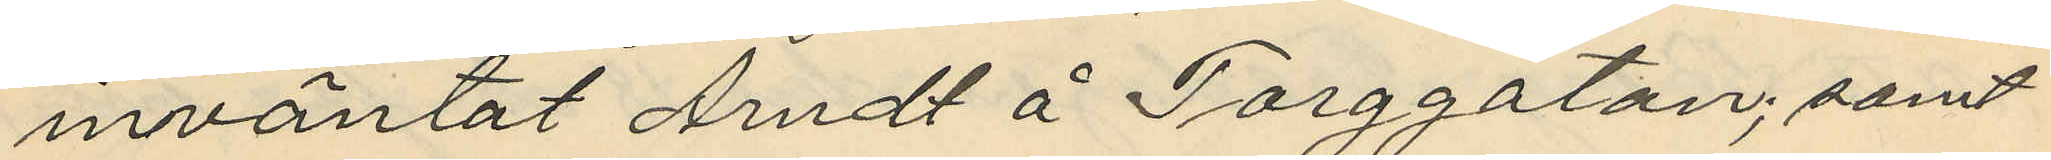inväntat Arndt å Torggatan; samt
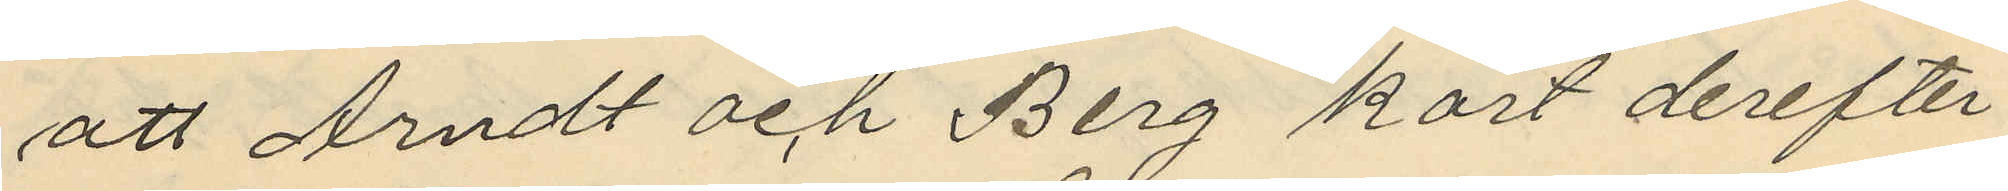att Arndt och Berg kort derefter
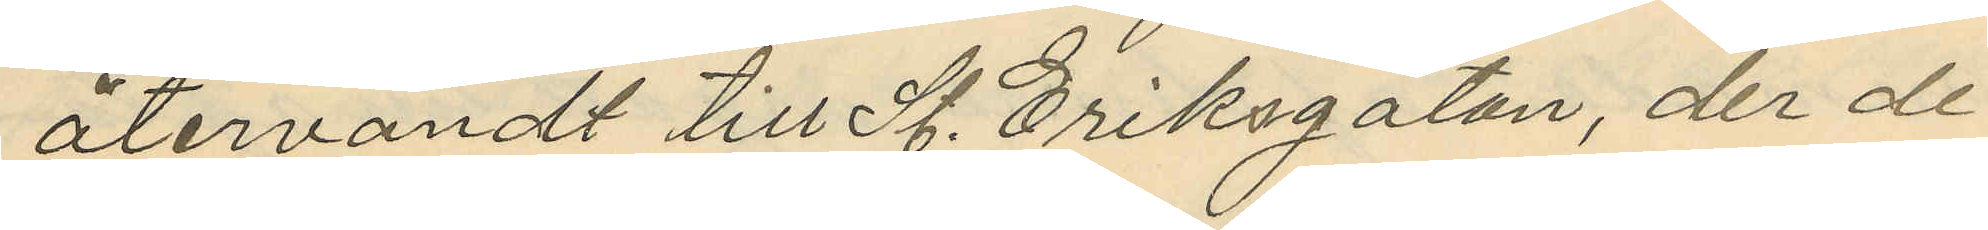återvändt till St. Eriksgatan, der de
